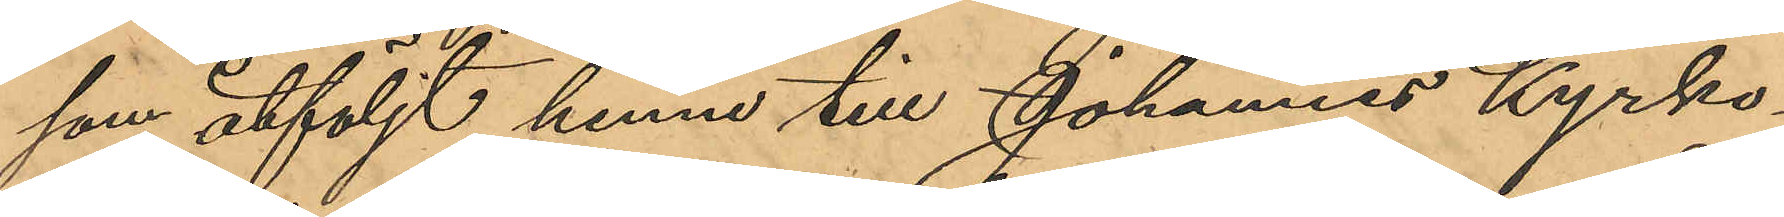som åtföljt henne till Johannes Kyrko¬
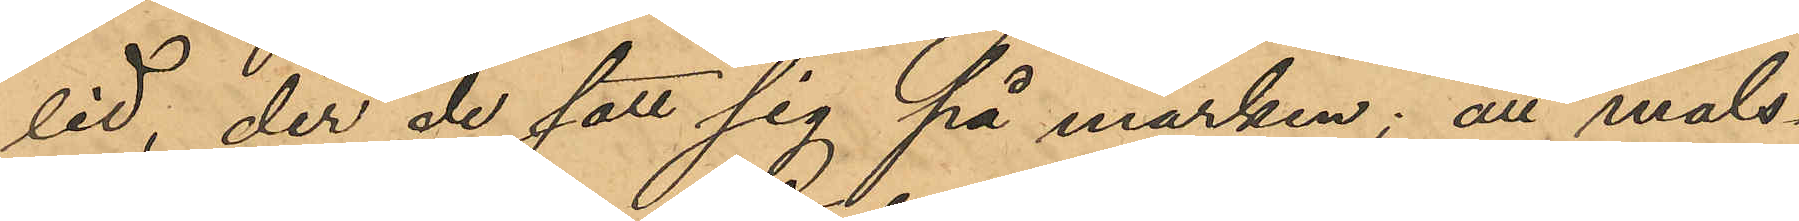lid, der de satt sig på marken; att måls¬
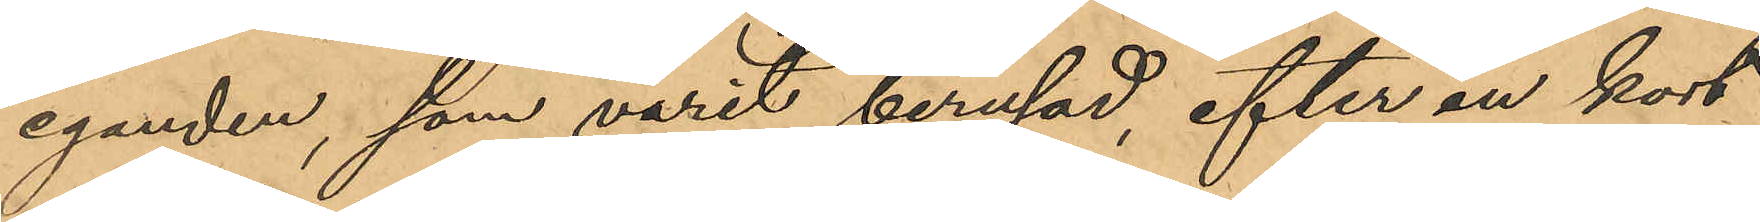eganden, som varit berusad, efter en kort
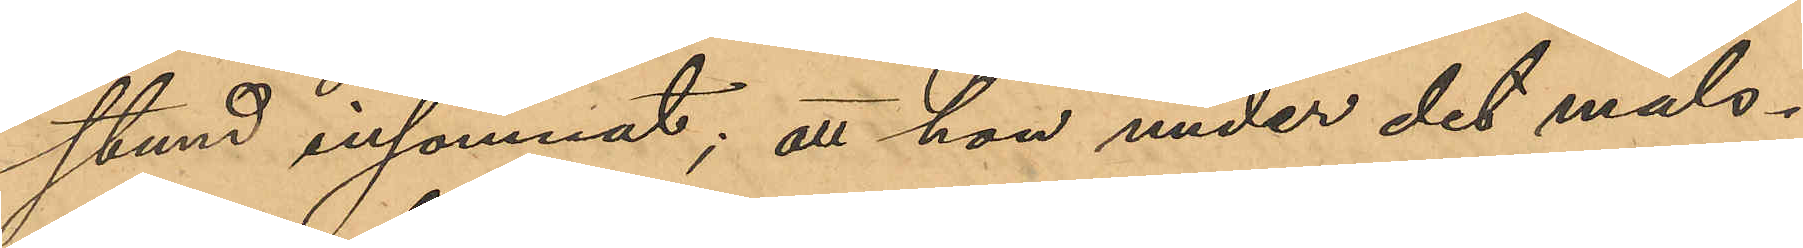stund insomnat; att hon under det måls¬
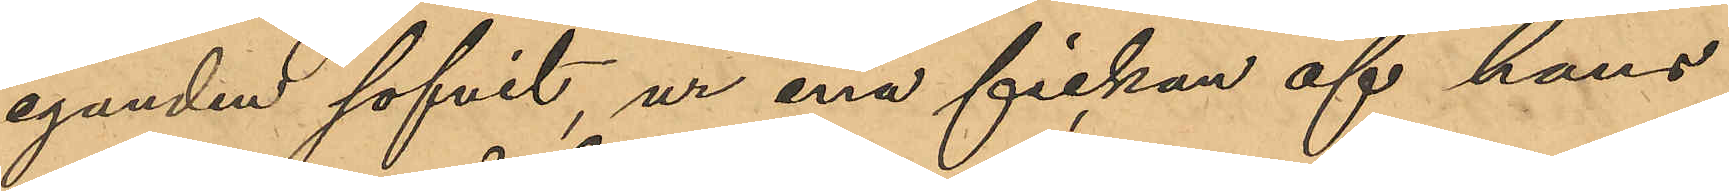eganden sofvit, ur ena fickan af hans
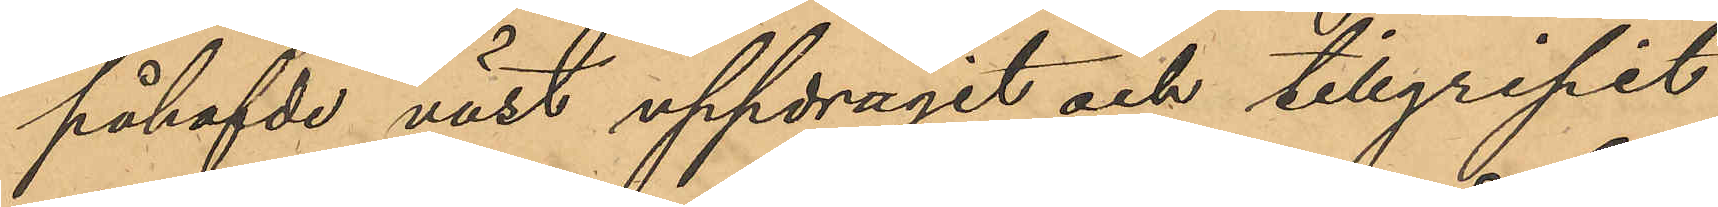påhafvde väst uppdragit och tillgripit
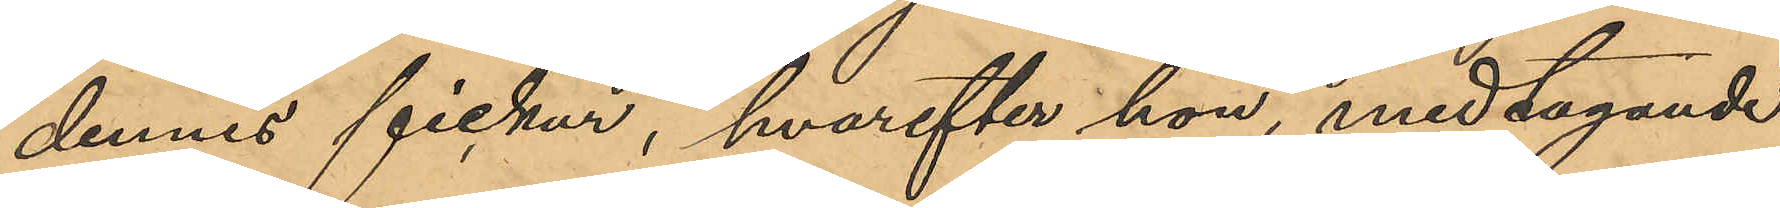dennes fickur, hvarefter hon, medtagande
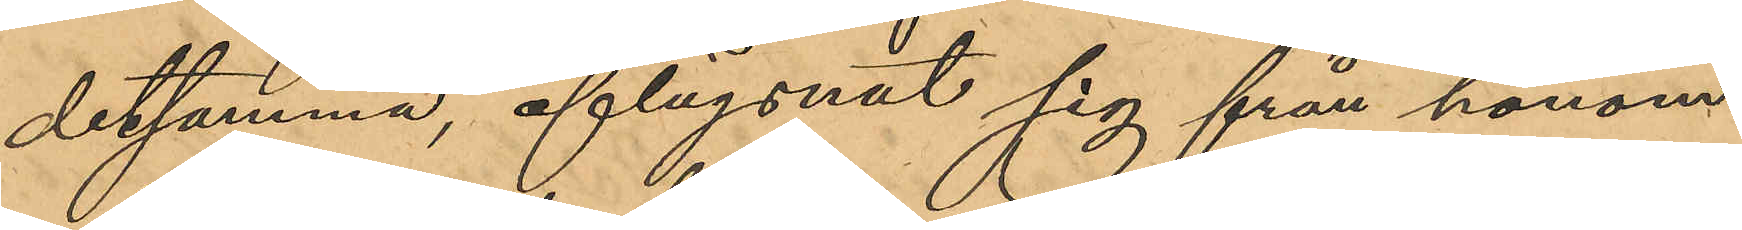detsamma, aflägsnat sig från honom
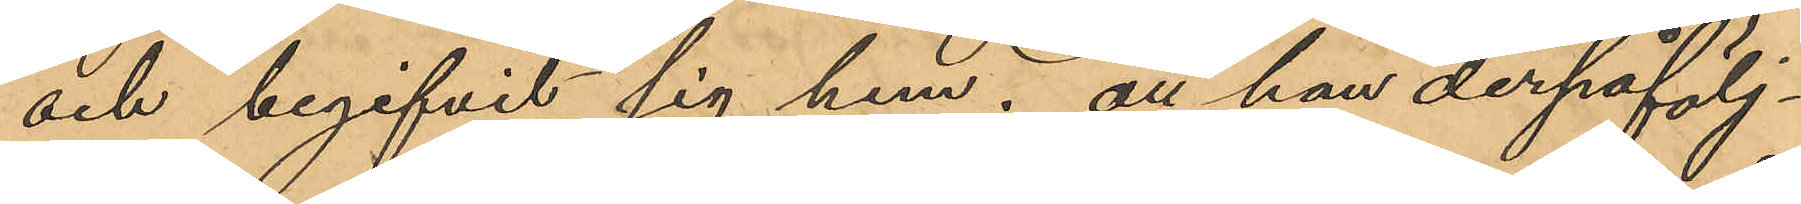och begifvit sig hem; att hon derpåfölj¬
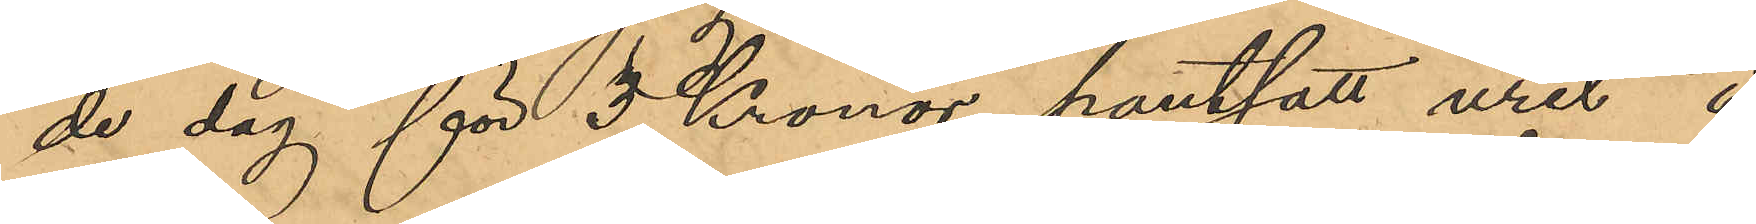de dag för 3 Kronor pantsatt urer å
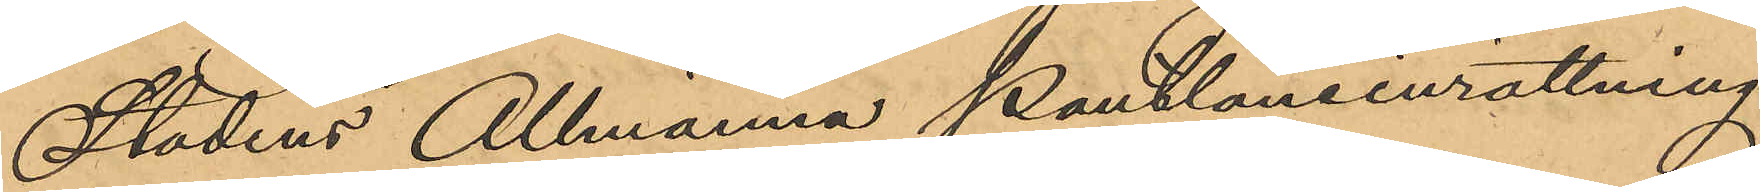Stadens Allmänna Pantlåneinrättning
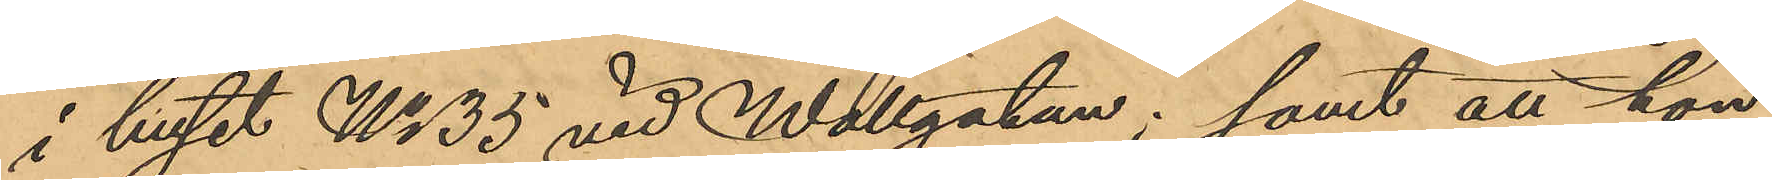i huset No 35 vid Wallgatan; samt att hon
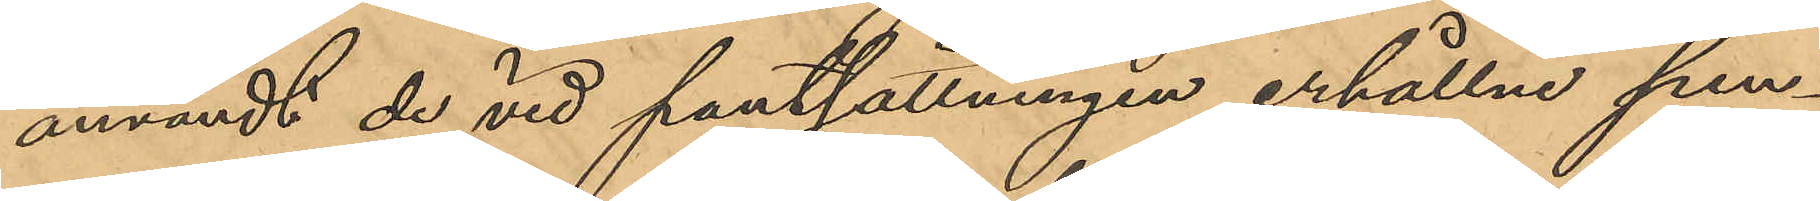användt de vid pantsättningen erhållne pen¬
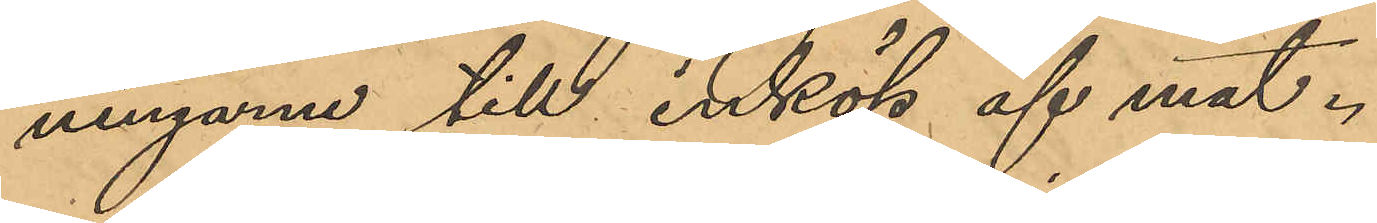ningarne till inköp af mat.
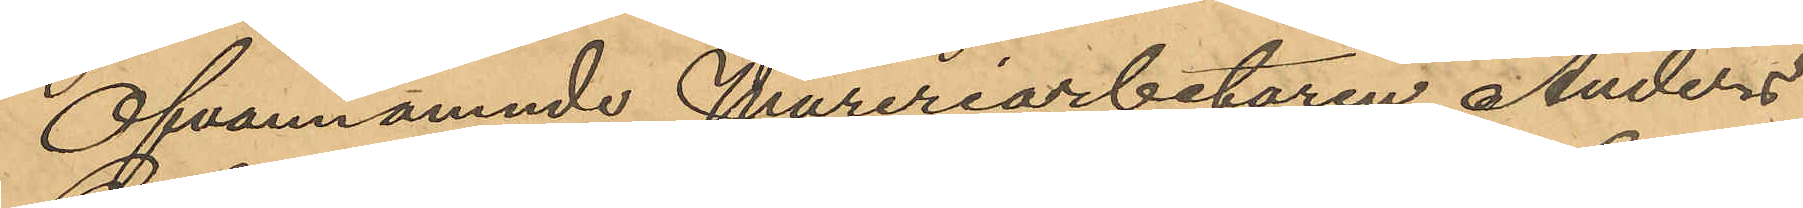Ofvannämnde Mureriarbetaren Anders
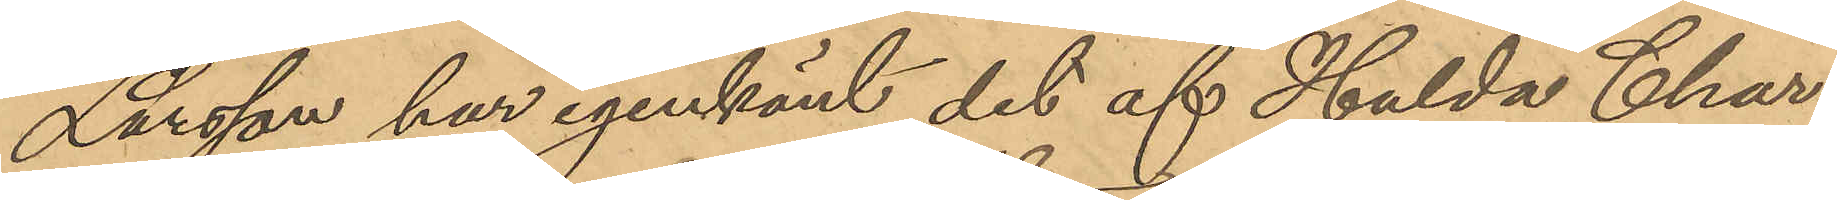Larsson har igenkänt det af Hulda Char¬
